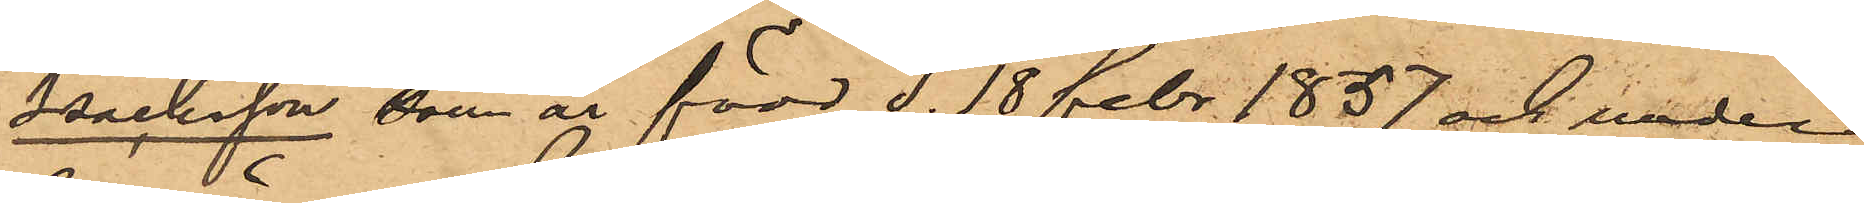Isaksson, som är född d. 18 febr. 1857 och under
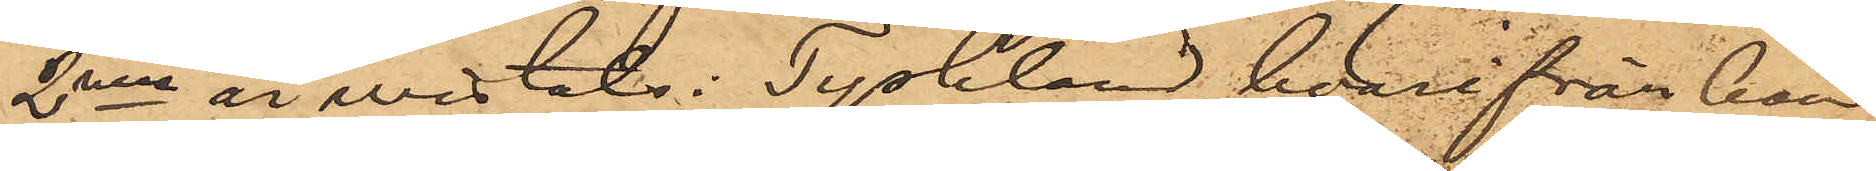2nne år wistats i Tyskland, hvarifrån han
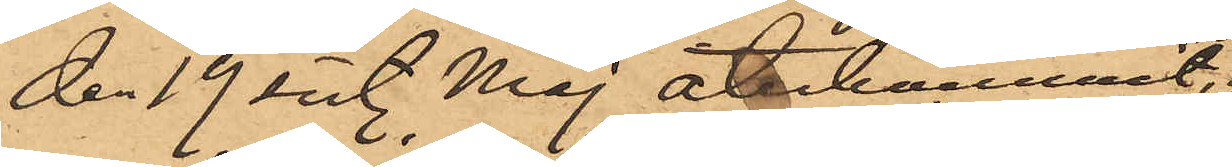den 19 sist. Maj återkommit,
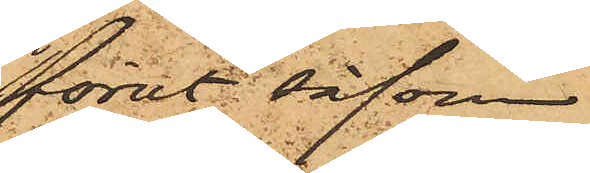förut såsom
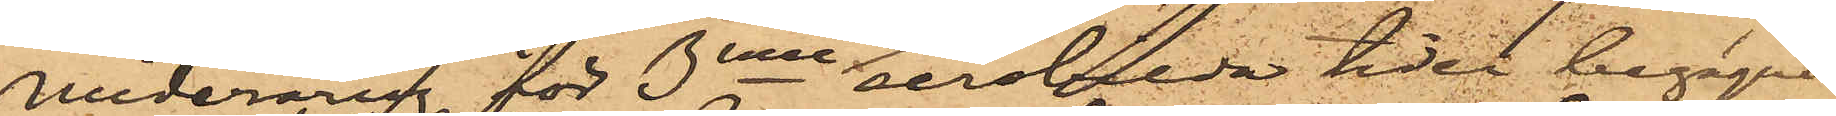underårig, för 3nne  å serskilda tider begågna
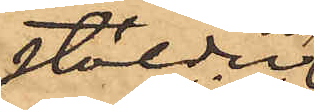stölder
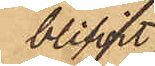blifvit
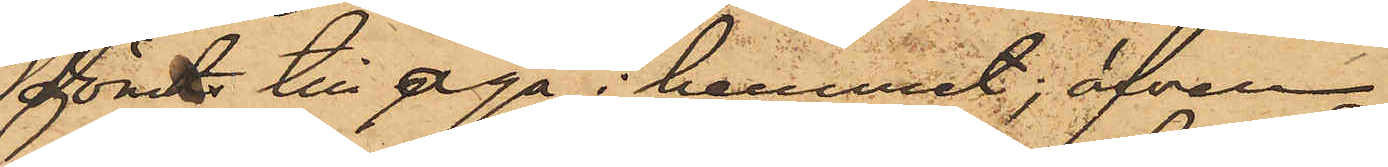dömd till aga i hemmet; äfven
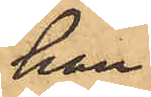han
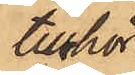tillhör
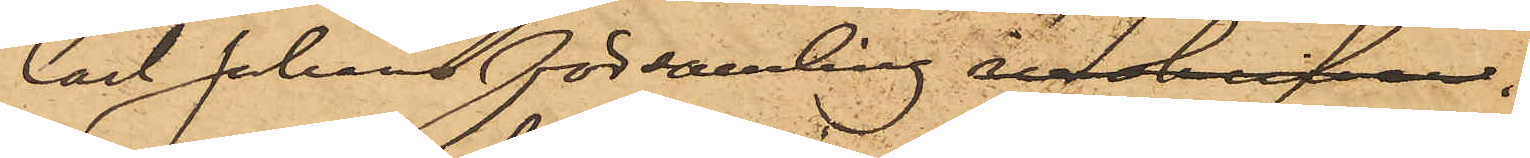Carl Johans församling. inskrifven.
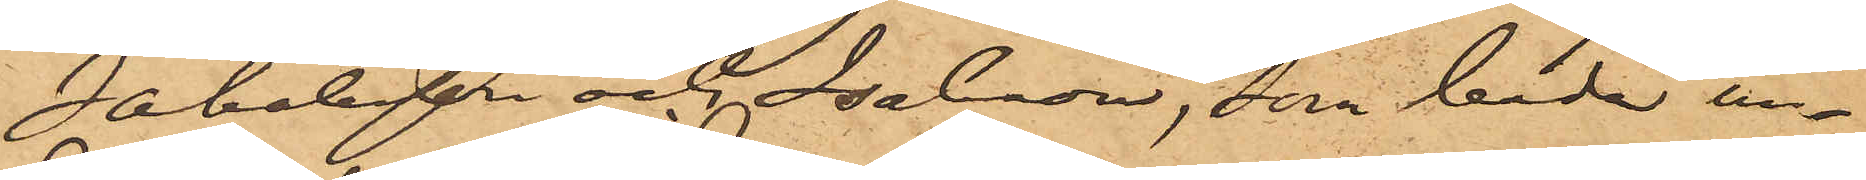Jakobsson och Isaksson, som båda in¬
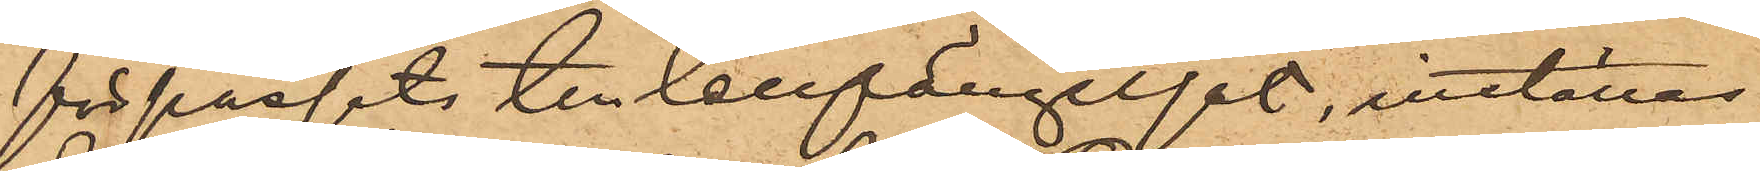förpassats till Cellfängelset, inställas
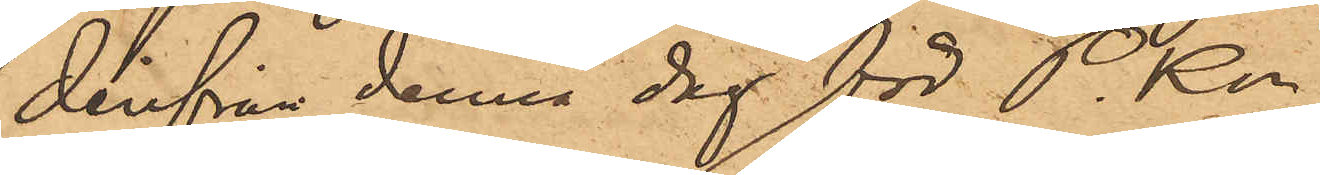derifrån denna dag för P.Kn.
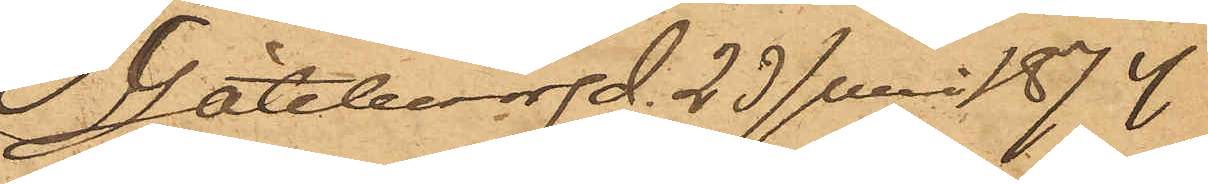Göteborg d. 23 Juni 1874
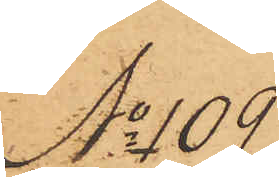No 109
